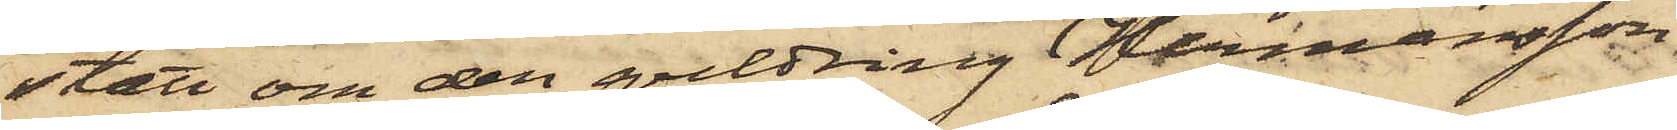stått om den guldring Hermansson
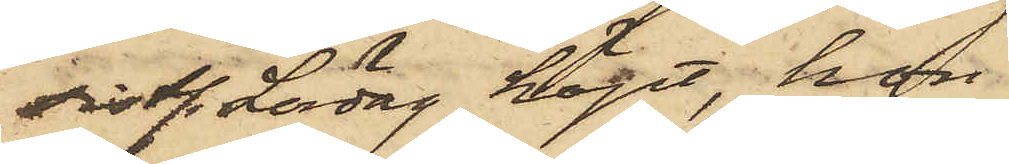sistl. Lördag köpt, hon
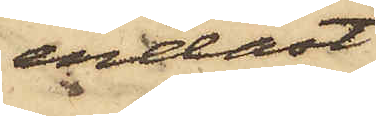endast
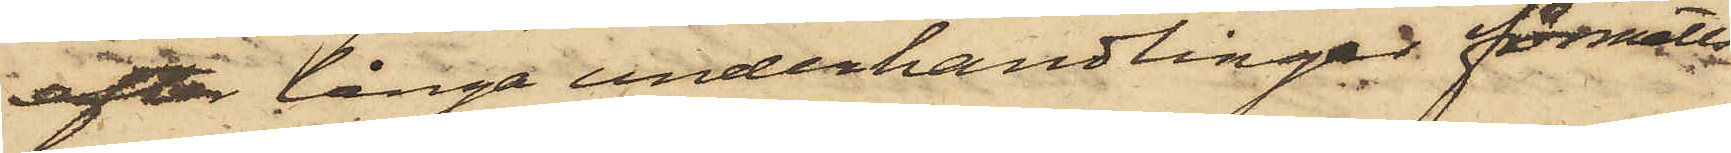efter långa underhandlingar förmåtts
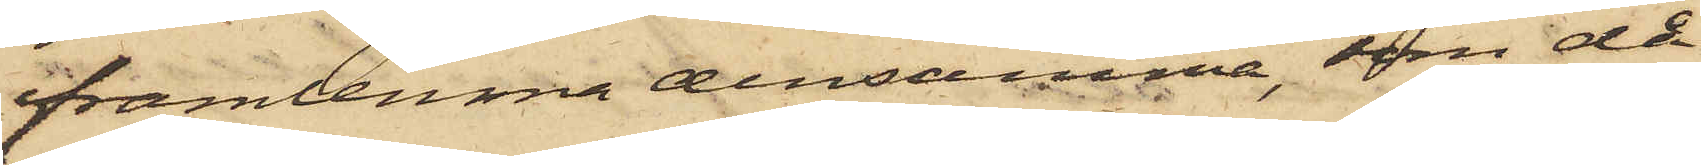framlemna densamma, som då
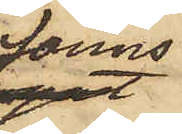fanns
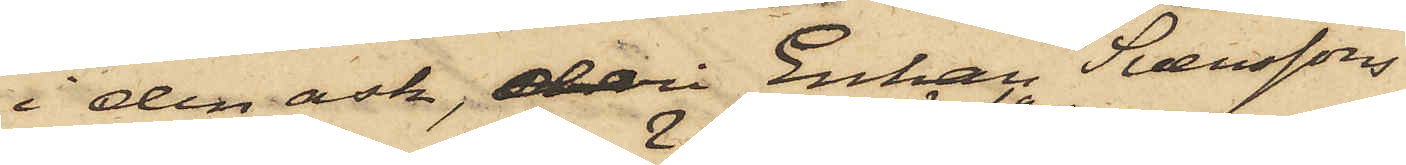i den ask, deri Enkan Svenssons
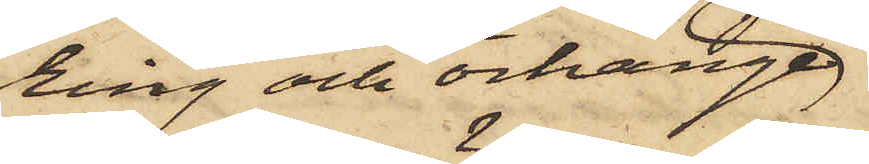ring och örhänge
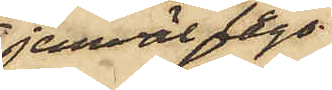jemväl lågo.
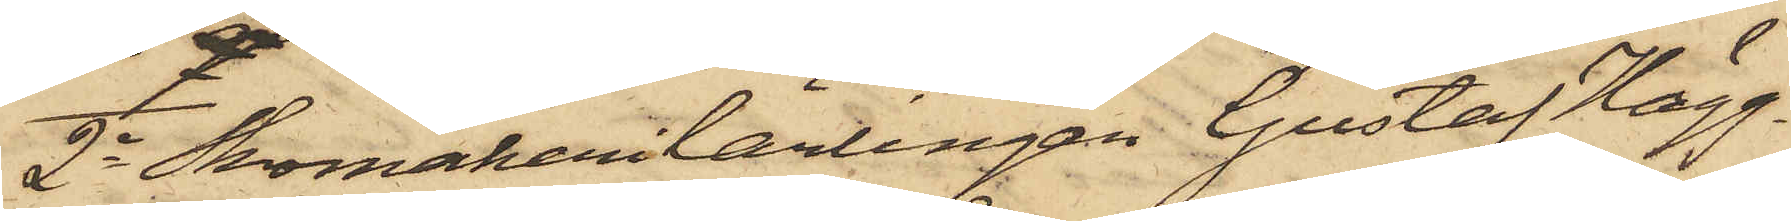2o Skomakerilärlingen Gustaf Hägg¬
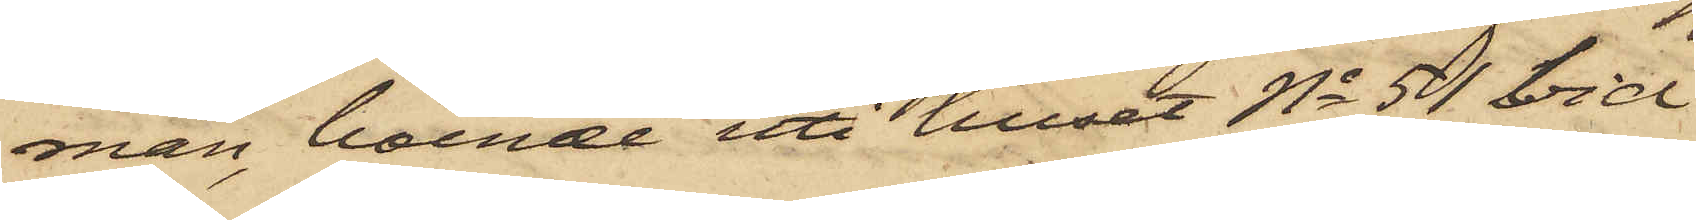man, boende uti huset No 51 vid
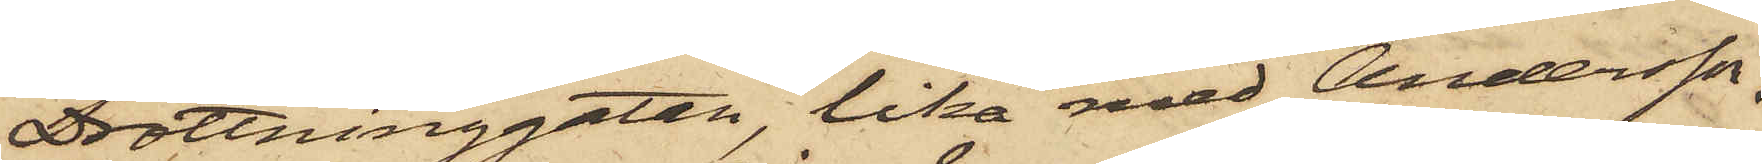Drottninggatan, lika med Andersson,
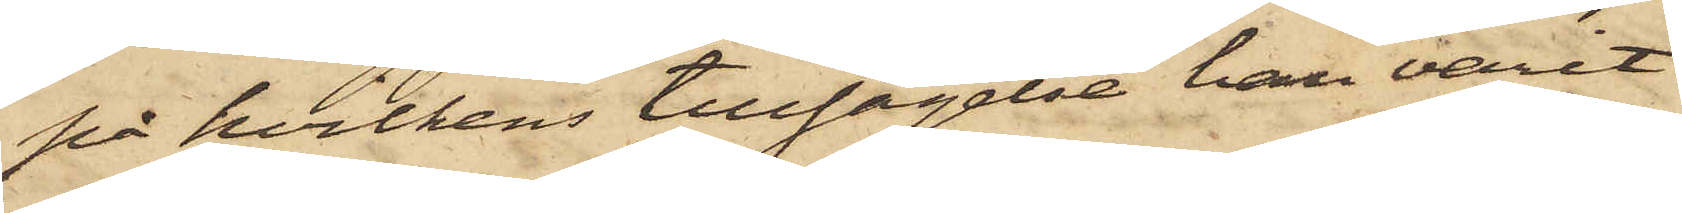på hvilkens tillsägelse han varit
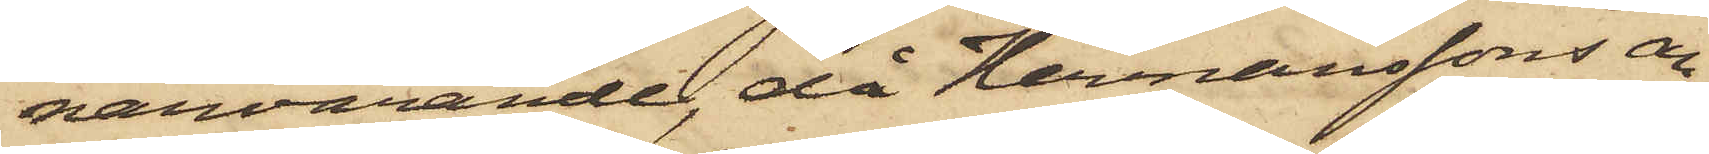närvarande, då Hermanssons an¬
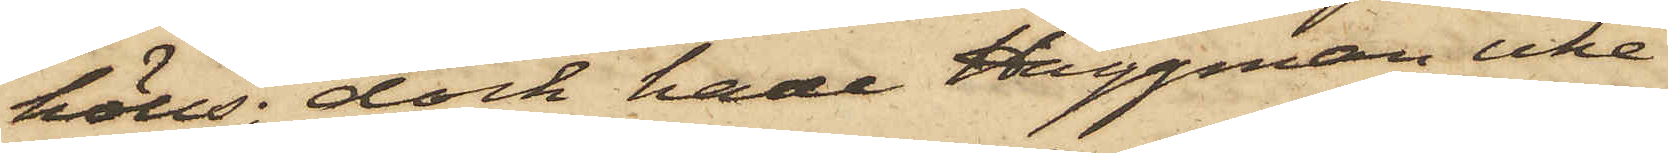hölls, dock hade Häggman icke
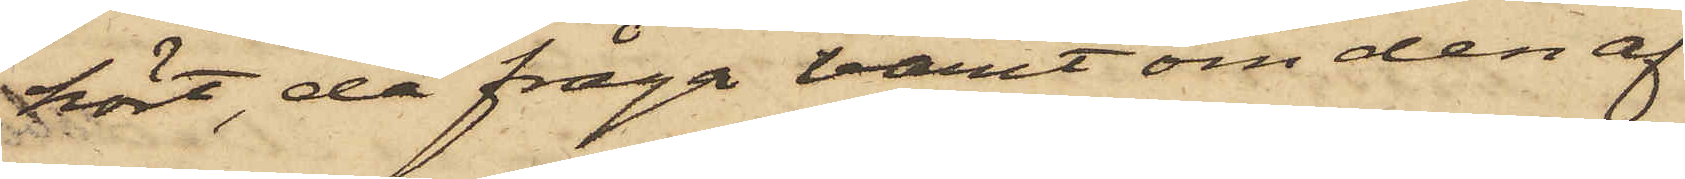hört, då fråga varit om den af
